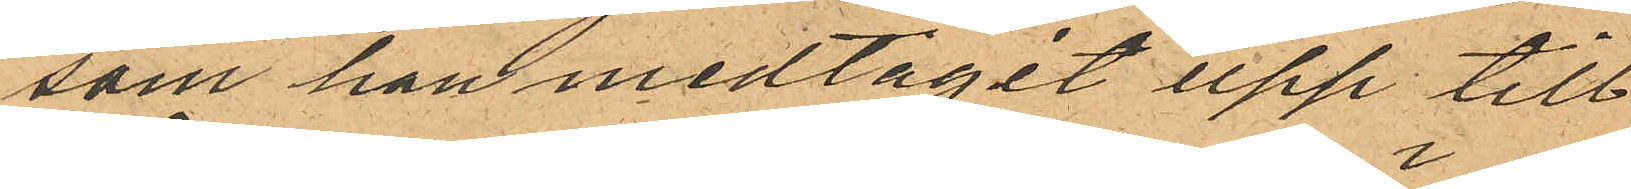som han medtagit upp till
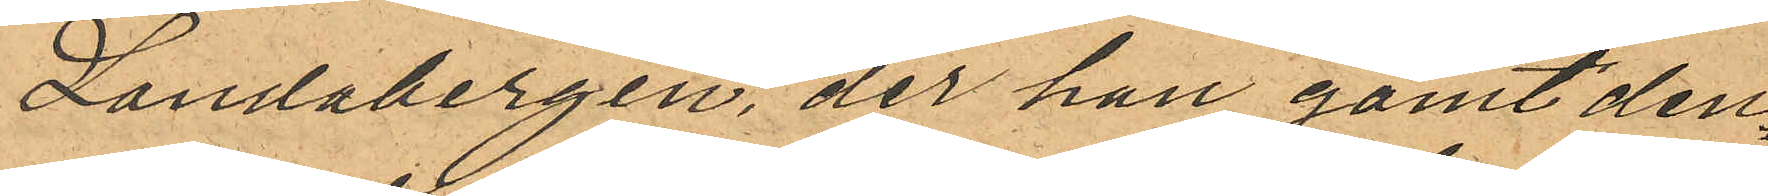Landabergen, der han gömt den¬
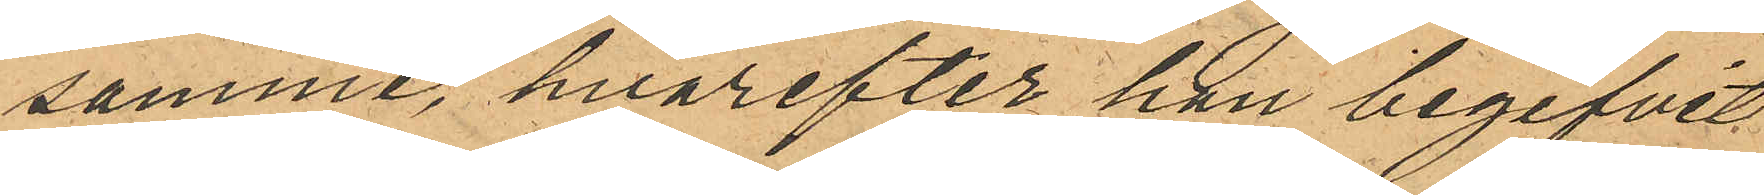samme, hvarefter han begifvit
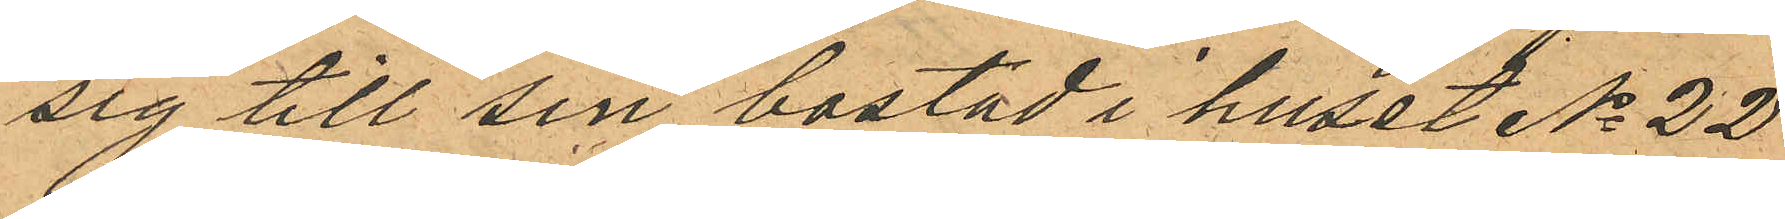sig till sin bostad i huset No 22
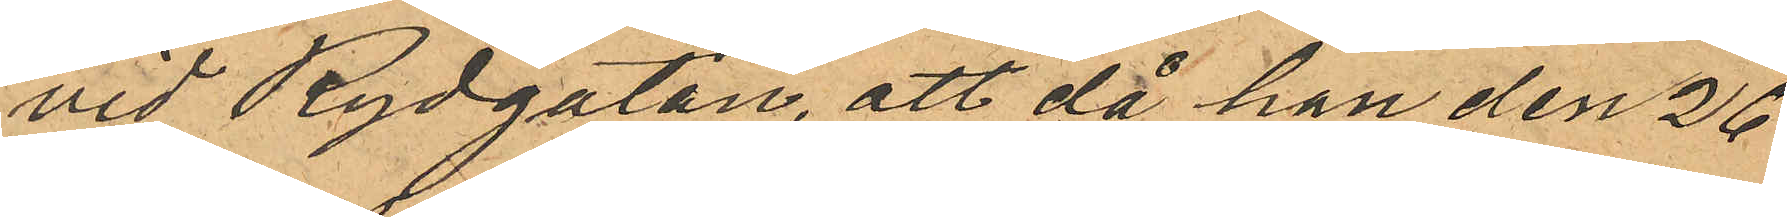vid Rydgatan, att då han den 26
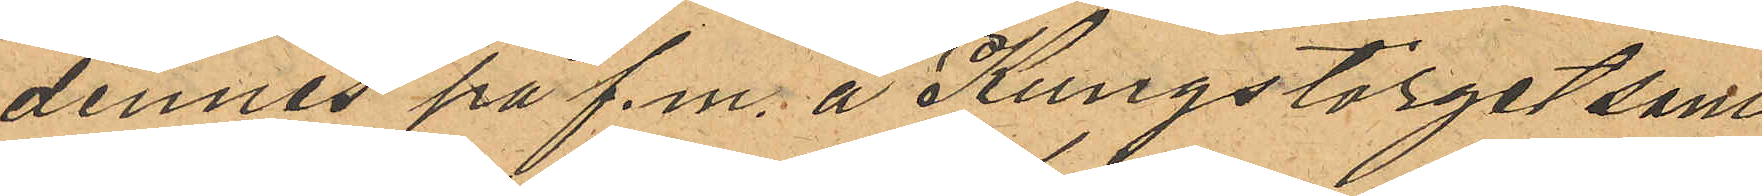dennes på f.m. å Kungstorget sam¬
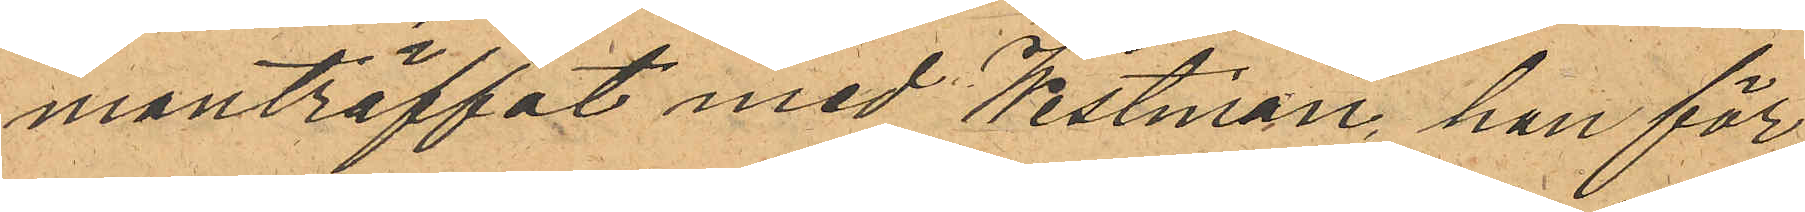manträffat med Westman, han för
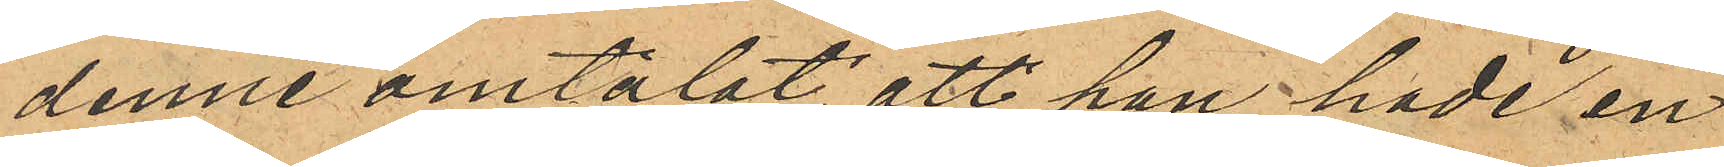denne omtalat, att han hade en
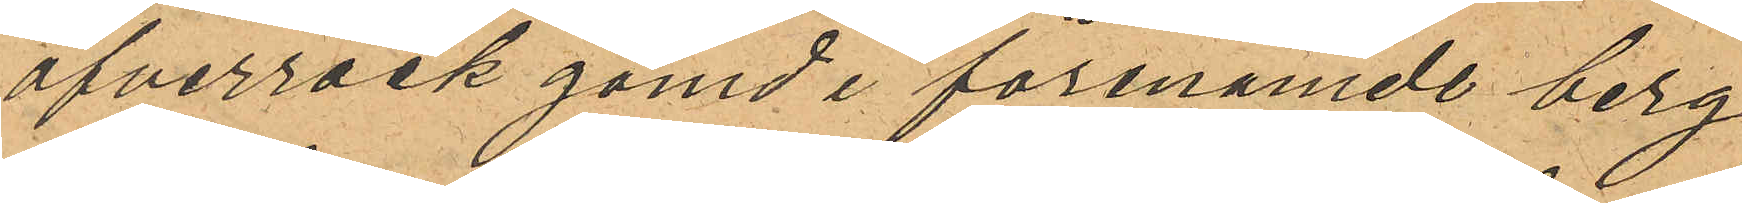öfverrock gömd i förenämde berg
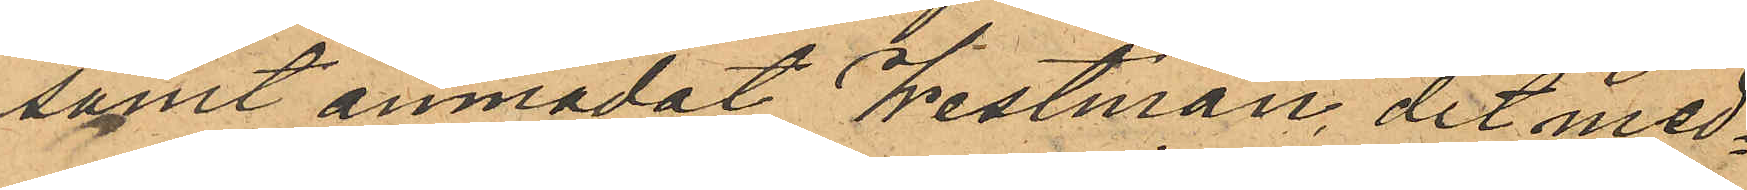sammt anmodat Westman dit med¬
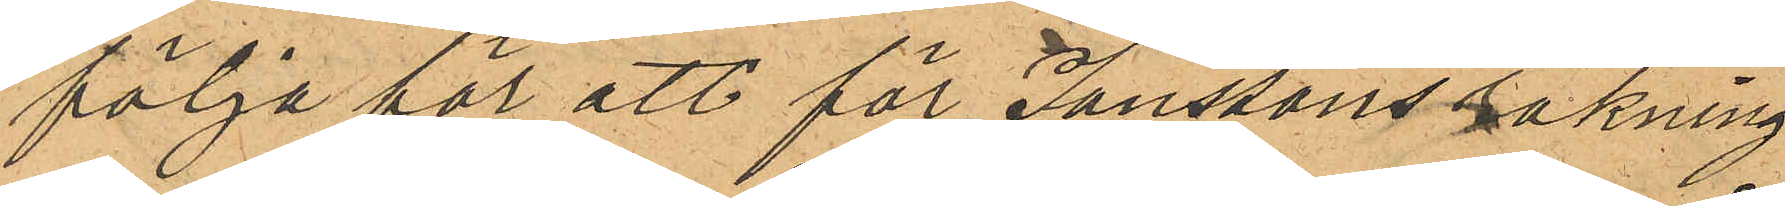följa för att för Jonssons räkning
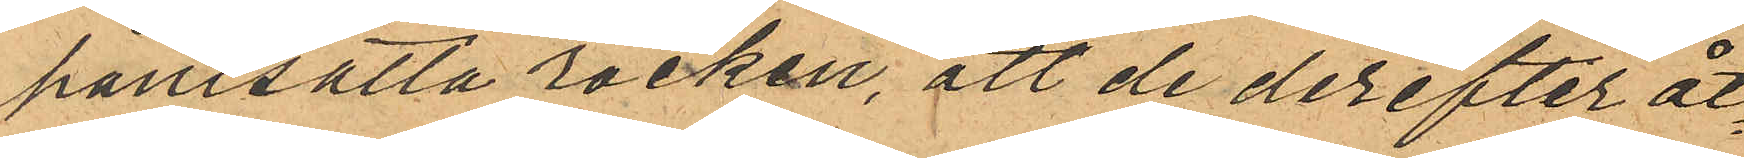pantsätta rocken, att de derefter åt¬
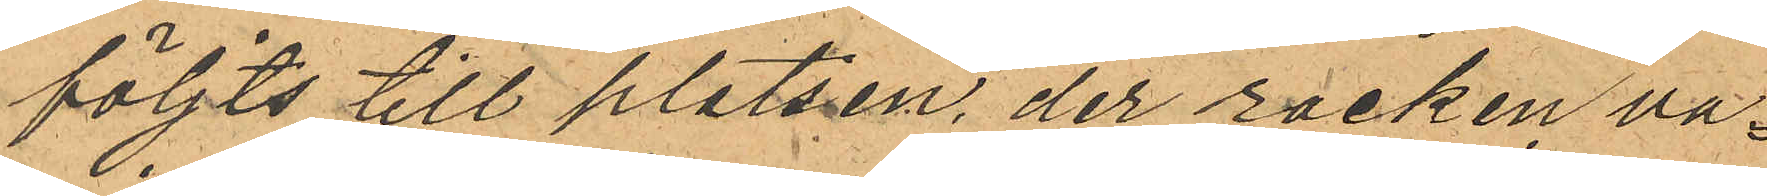följts till platsen, der rocken va¬
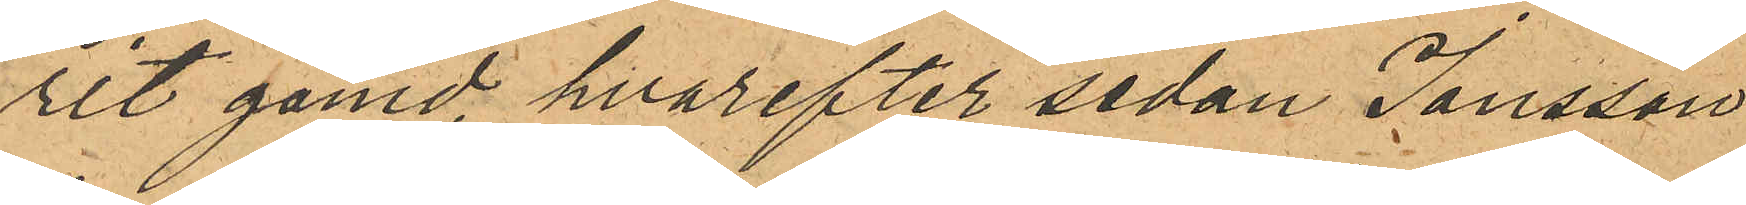rit gömd, hvarefter sedan Jonsson
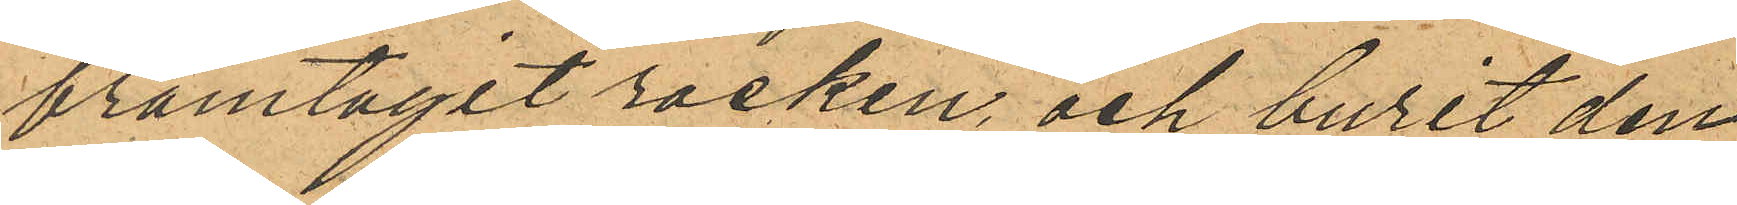framtagit rocken, och burit den¬
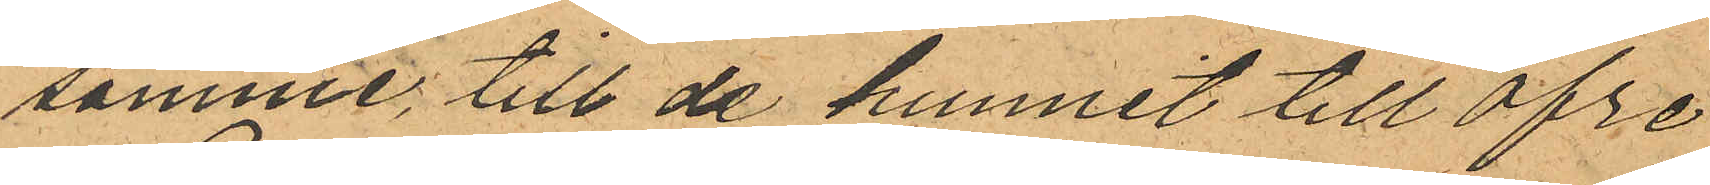samme till de hunnit till Öfre
